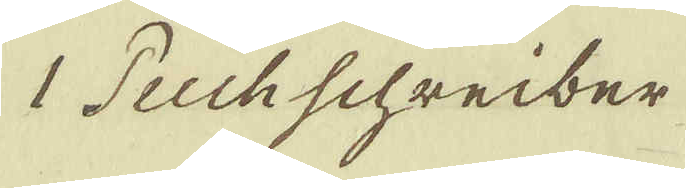1 Puchschreiber
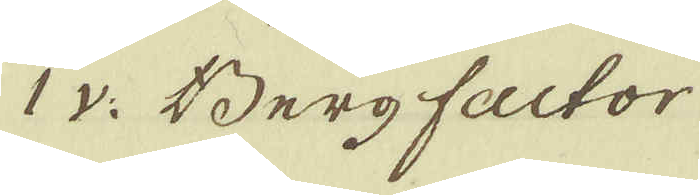1 v: Berg factor
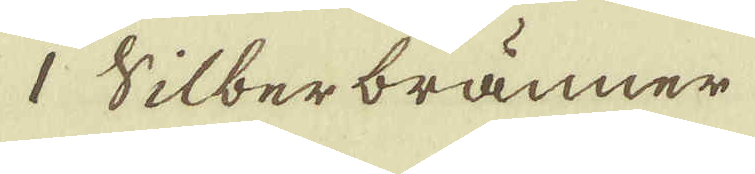1 Silberbränner
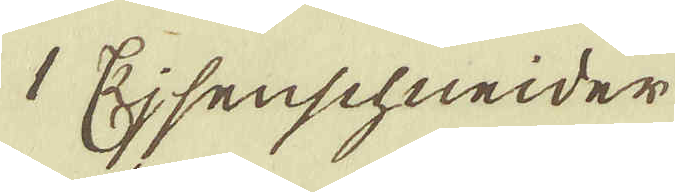1 Ejsenschneider
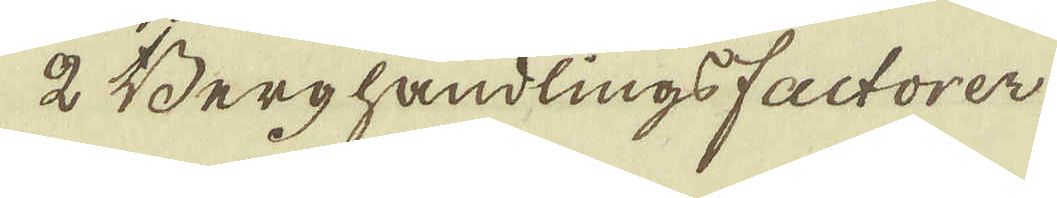2 Berghandlings factoren
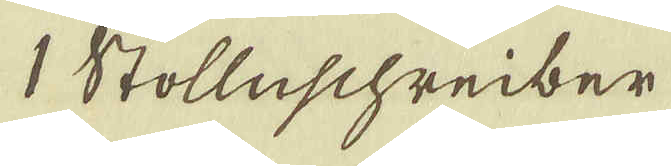1 Stolleschreiber
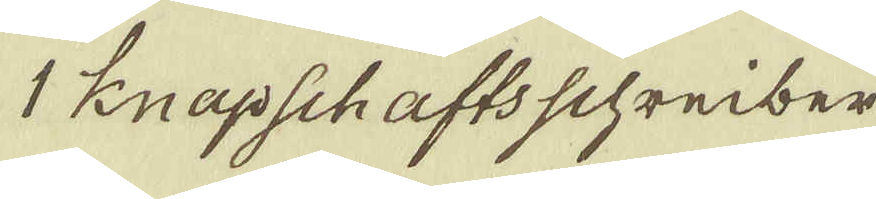1 Knapschafts schreiber
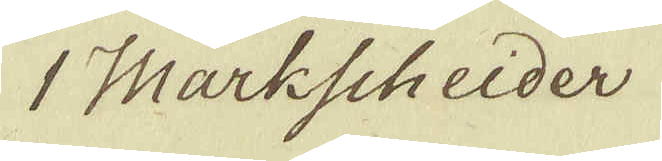1 Markscheider
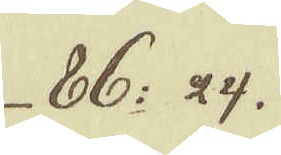86: 24.
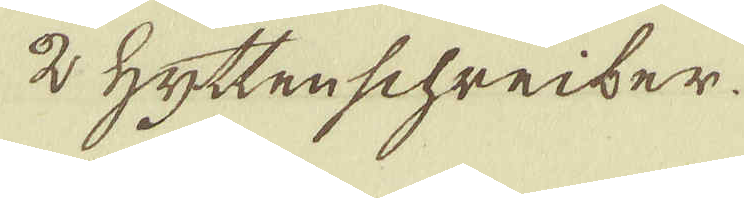2 Hyttenschreiber.
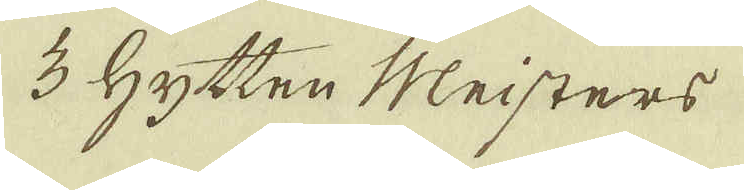3 Hytten Meisters
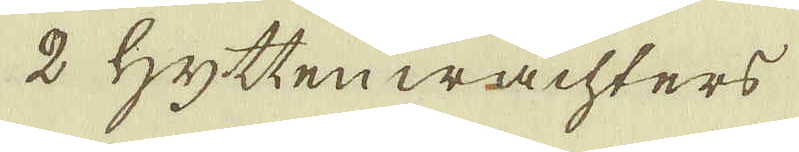2 Hyttenwächters
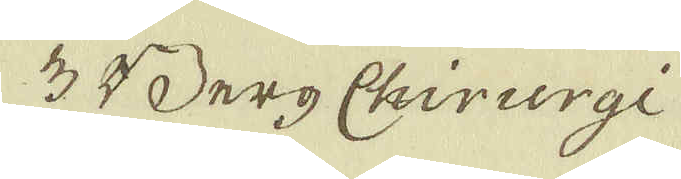3 Berg Chirurgi
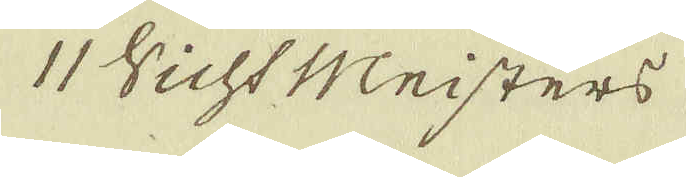11 Vicht Meisters
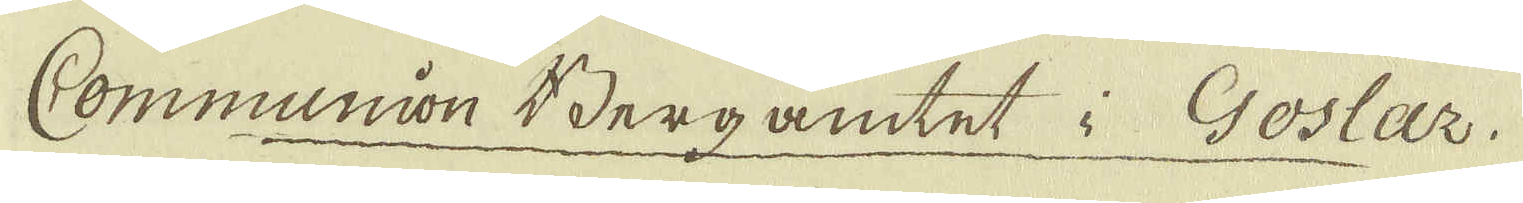Communion Bergamtet i Goslar.
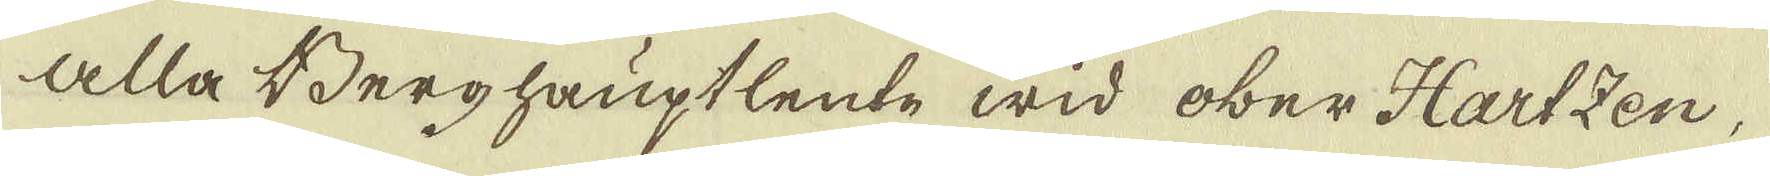Alla Berghauptlente wid ober-Hartzen,
